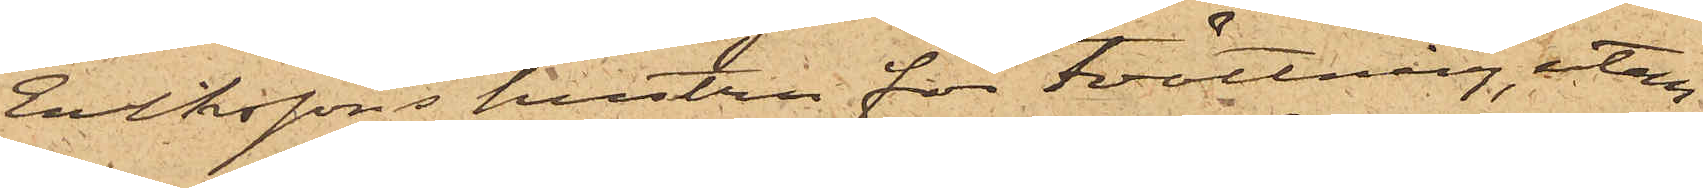Erikssons hustru för tvättning, utan
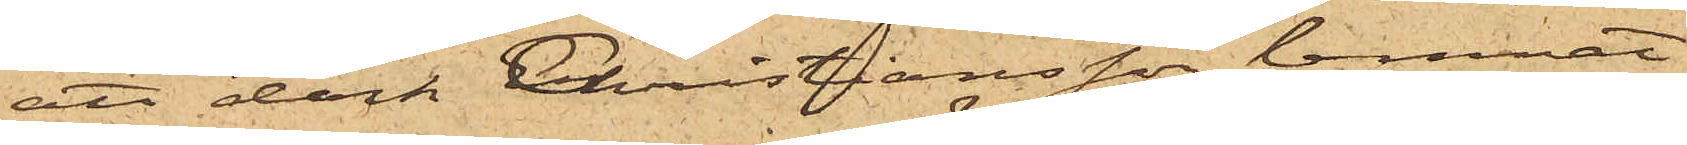att dock Christiansson lemnat
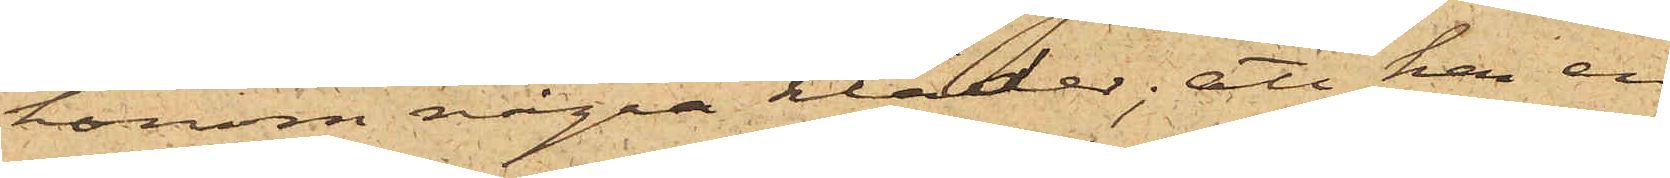honom några kläder; att han en
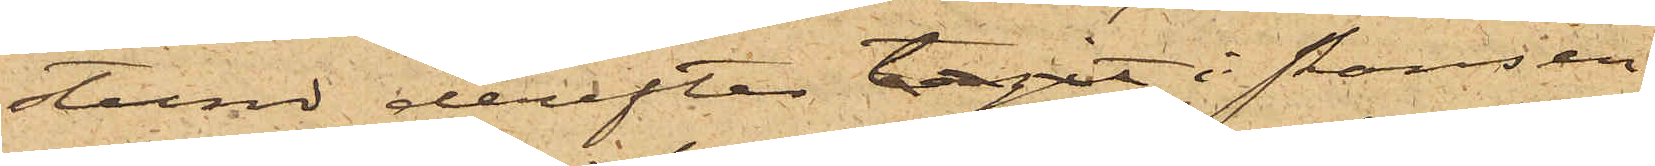stund derefter tagit i skansen
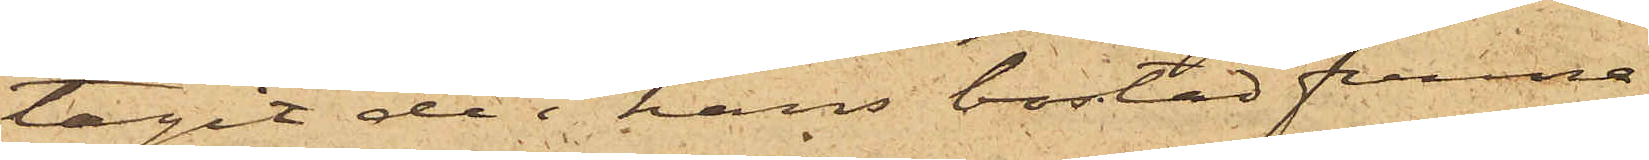tagit de i hans bostad funna
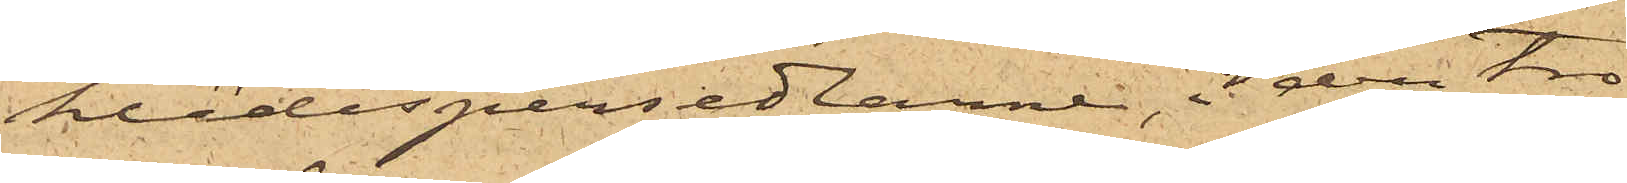klädespersedlarne, i den tro
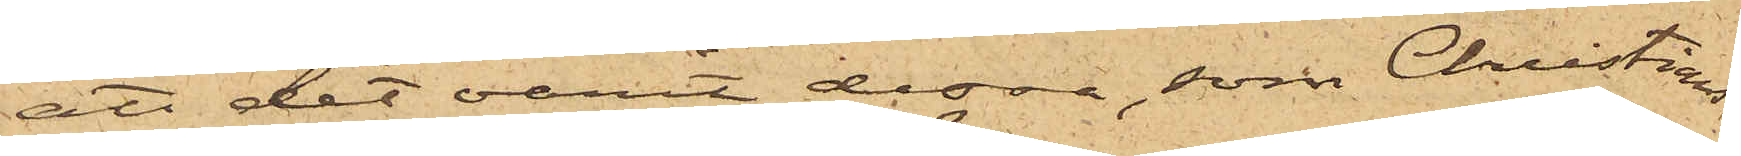att det varit dessa, som Christians¬
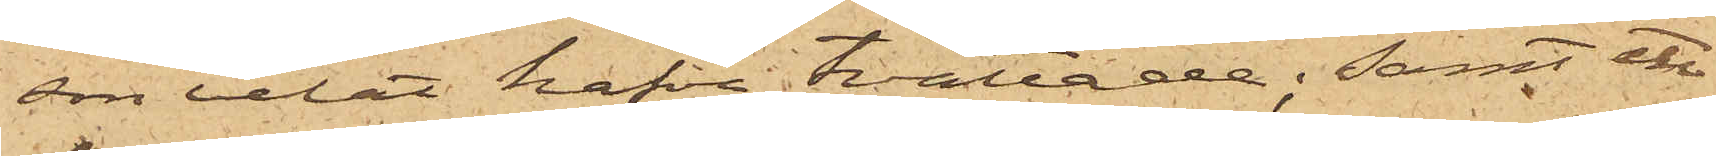son velat hafva tvättade; samt att
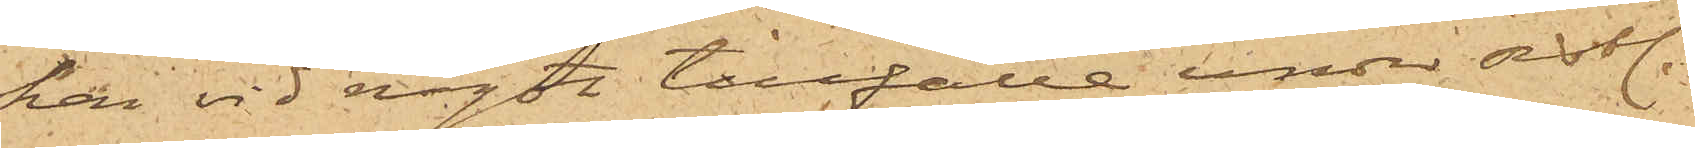han vid något tillfälle under sistl.
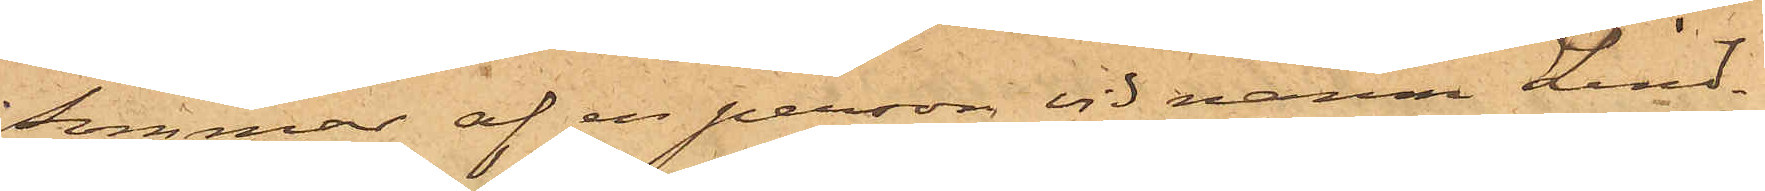sommar af en person vid namn Lind¬
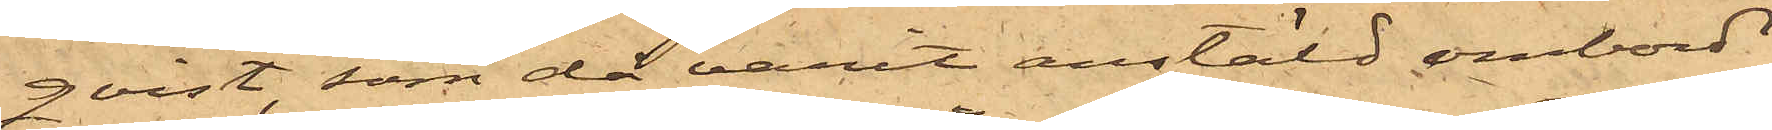qvist, som då varit anstäld ombord
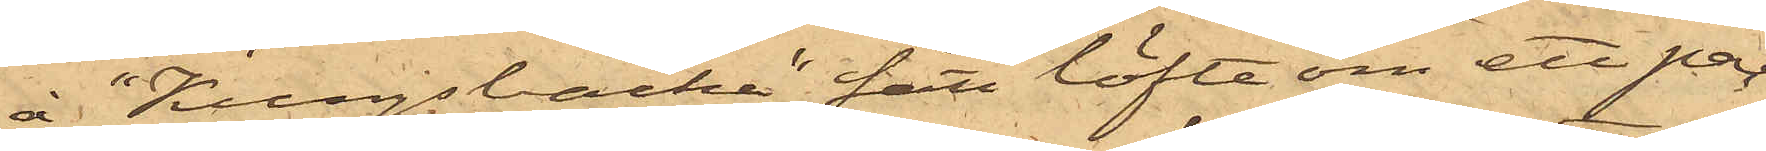å "Kungsbacka" fått löfte om ett par
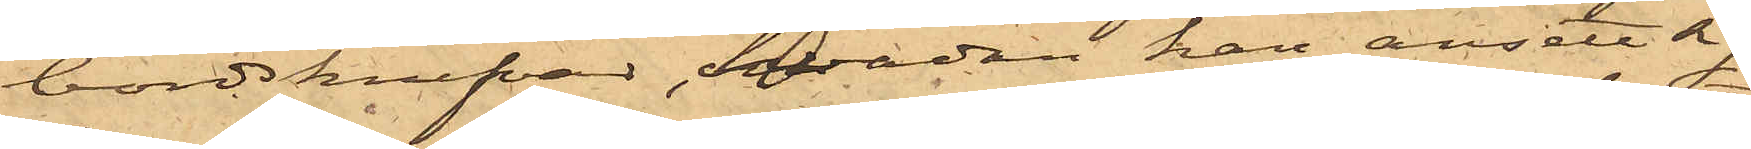bordskrifvar, hvadan han ansett sig
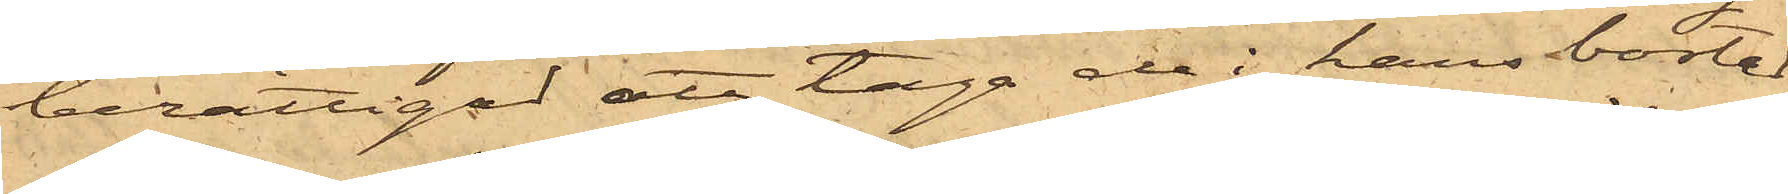berättigad att taga de i hans bostad
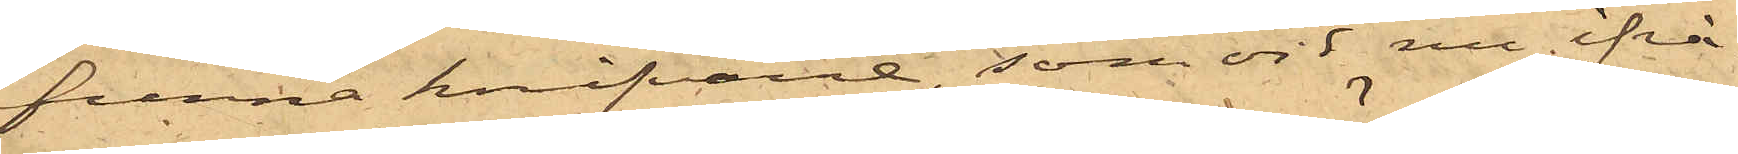funna knifvarne, som vid nu ifrå¬
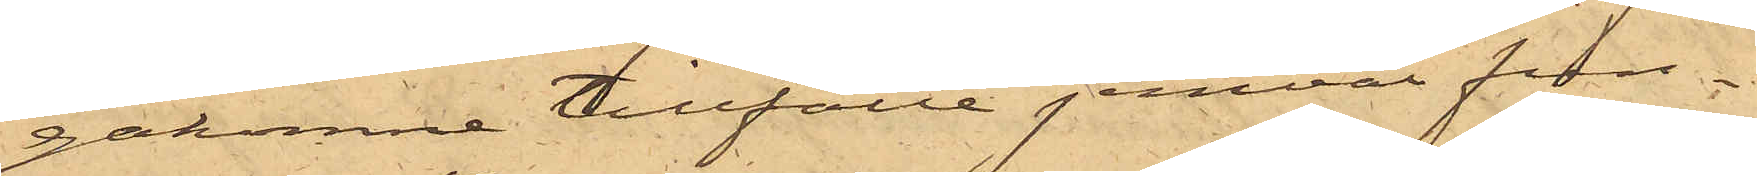gakomne tillfälle jemväl fun¬
